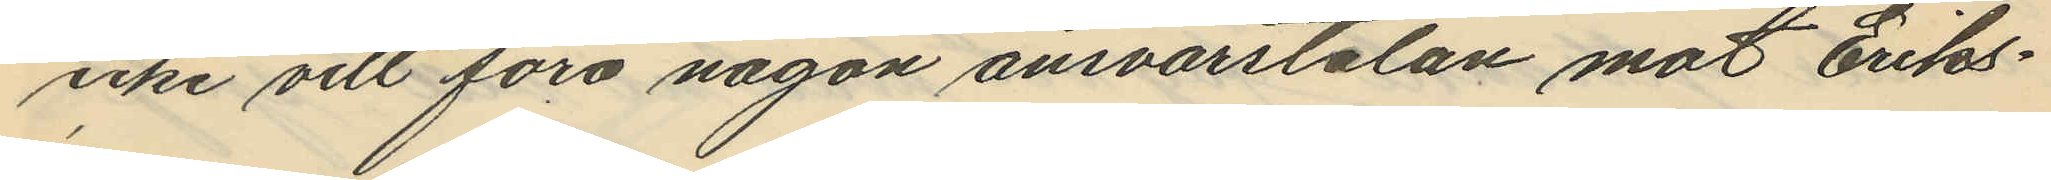icke vill föra någon ansvarstalan mot Eriks¬
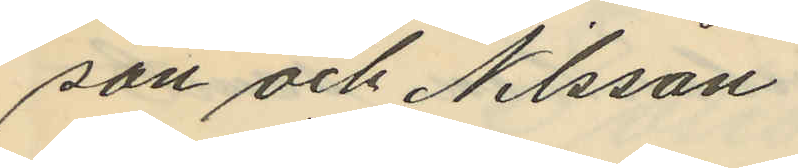son och Nilsson
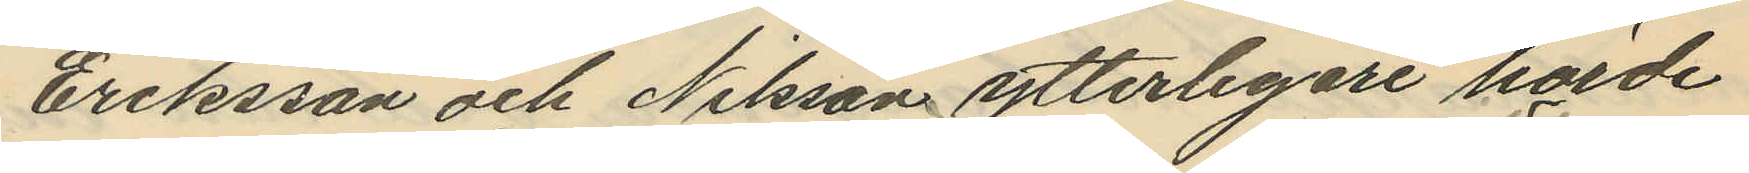Eriksson och Nilsson ytterligare hörde
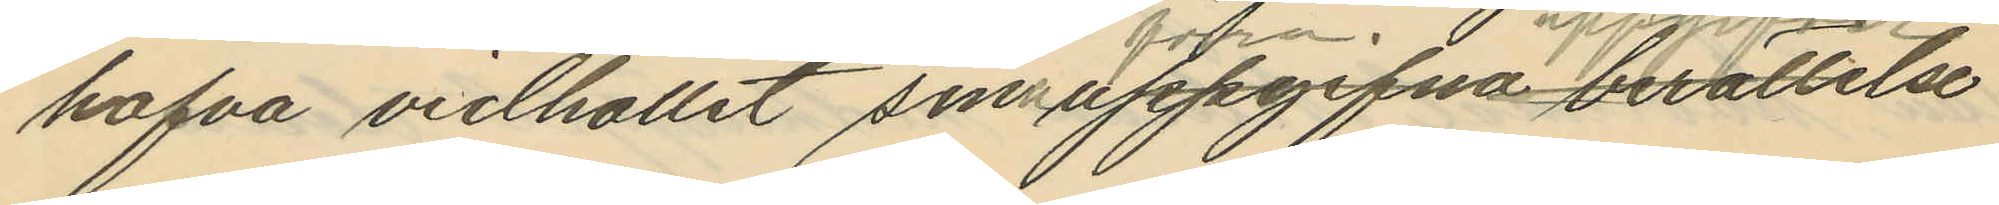hafva vidhållit som uppgifna berättelse
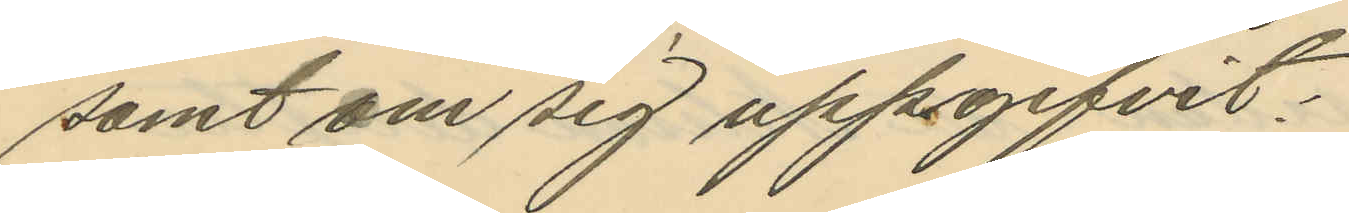samt om sig uppggifvit:
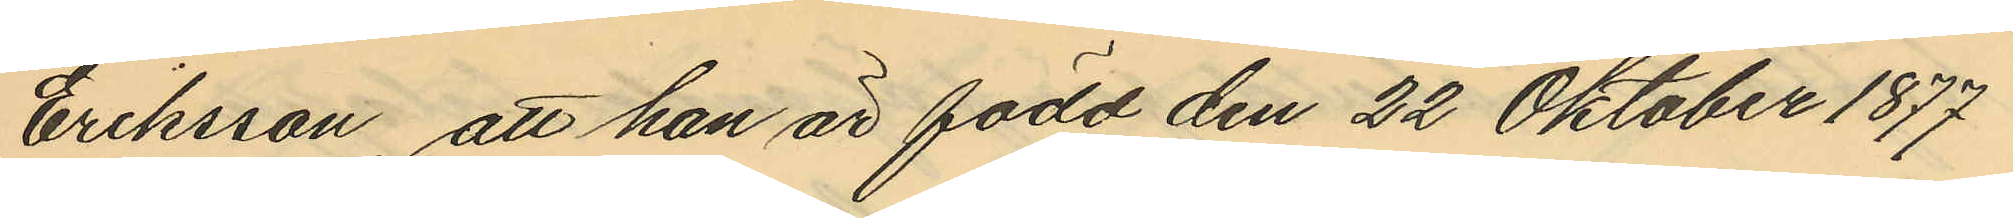Eriksson, att han är född den 22 Oktober 1877
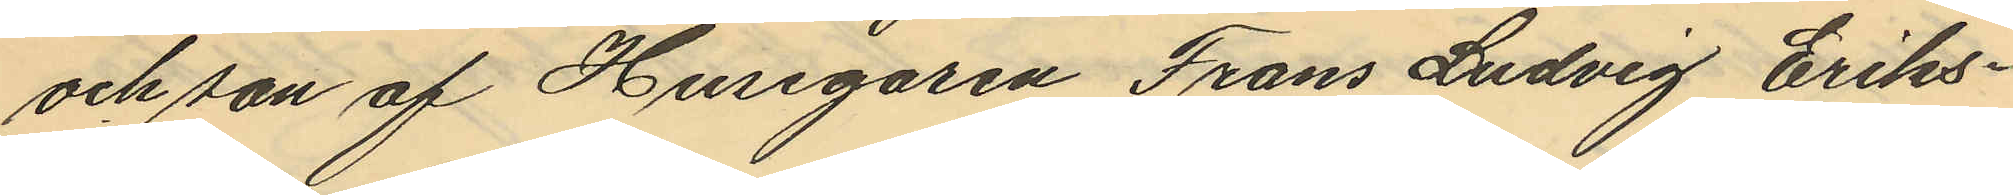och son af Husegaren Frans Ludvig Eriks¬
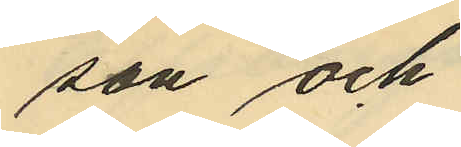son och
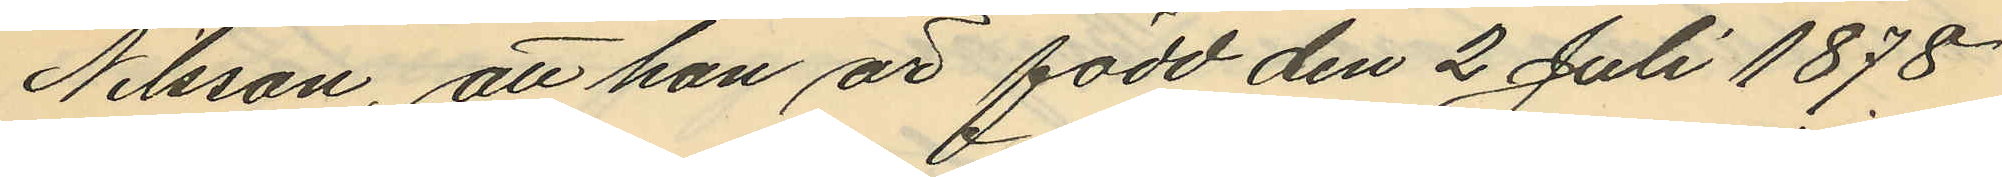Nilsson, att han är född den 2 Juli 1878.
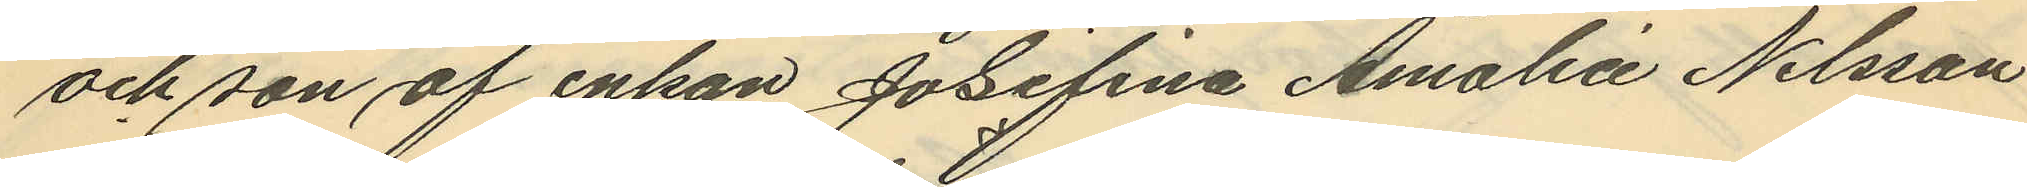och son af enkan Josefina Amalia Nilsson
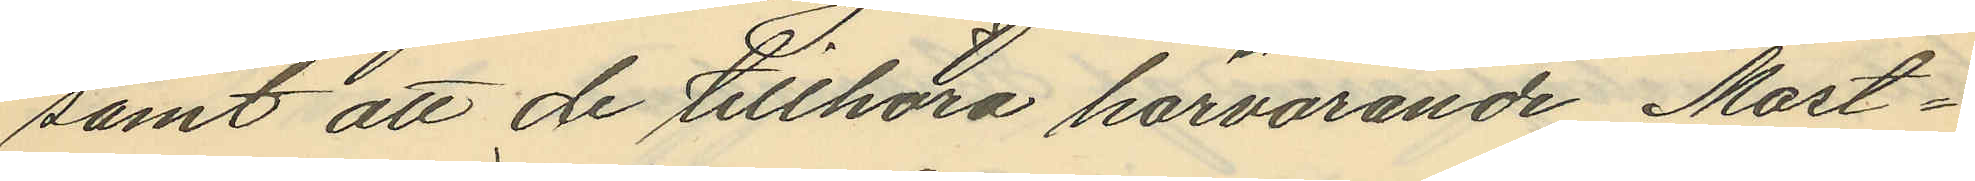samt att de tillhöra härvarande Mast¬
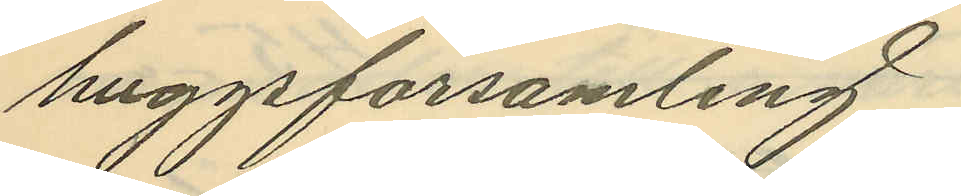huggsförsamling.
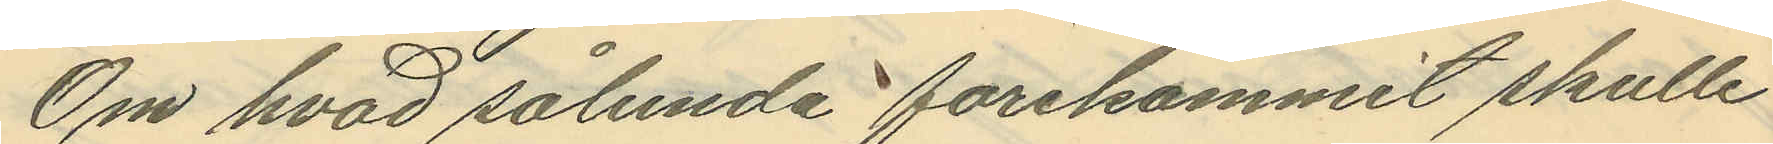Om hvad sålunda förekommit skulle
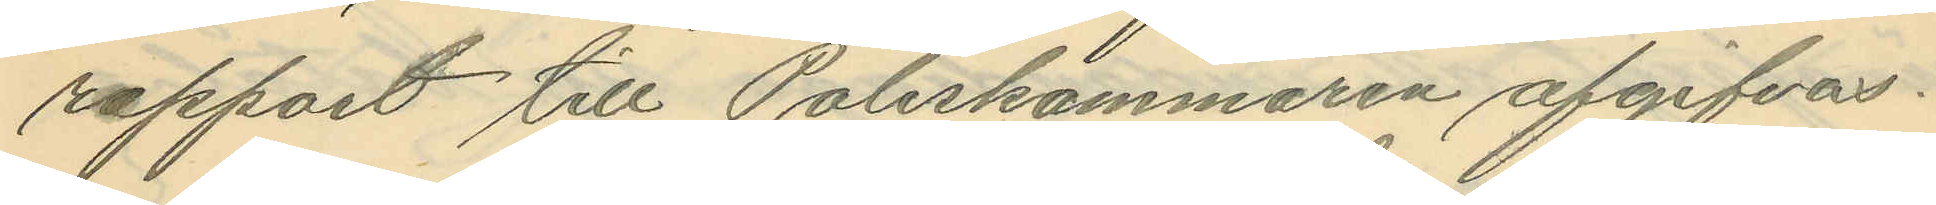rapport till Poliskammaren afgifvas.
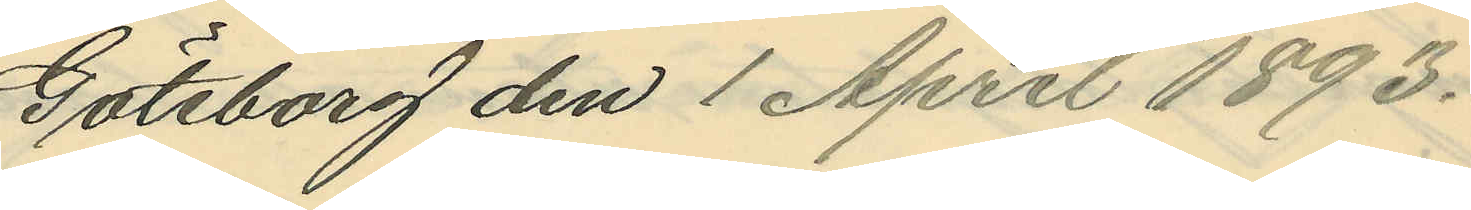Göteborg den 1 April 1893.
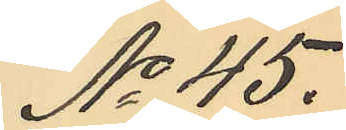No 45.
